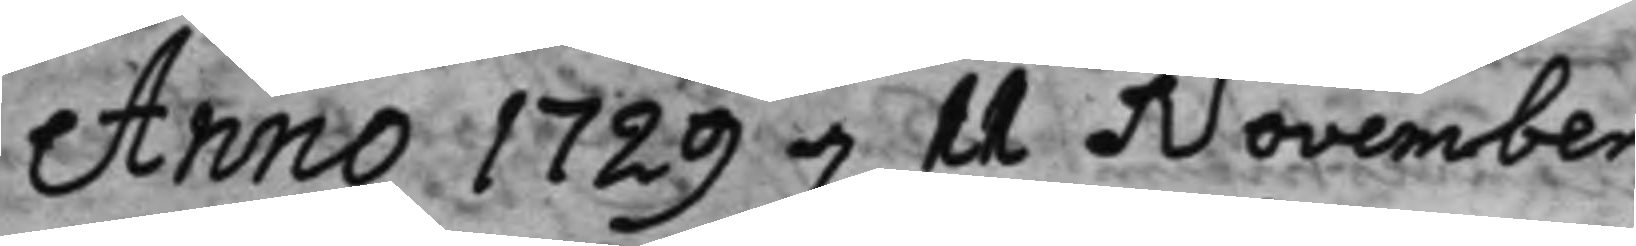Anno 1729 d. 11 November
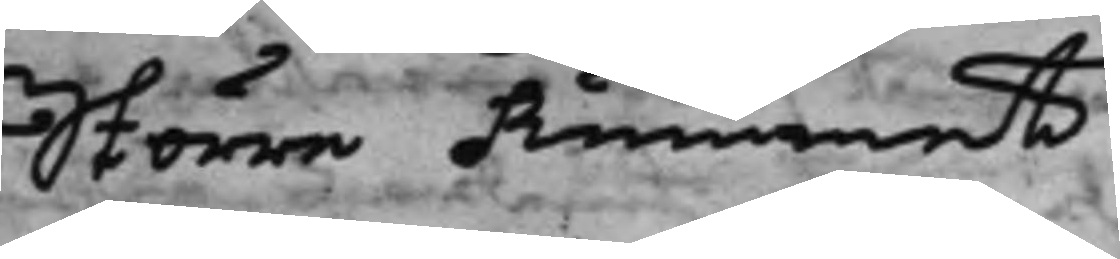Större Rummet.
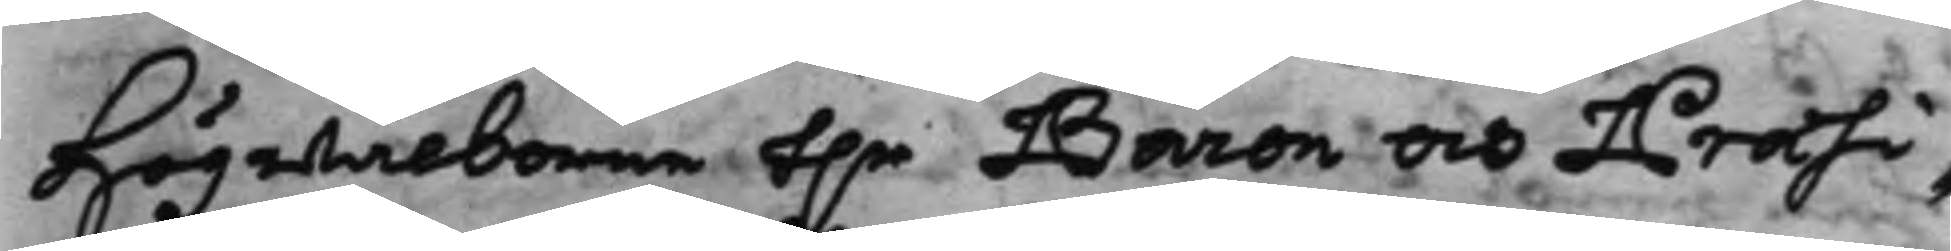Högwälborne h.r Baron och Præsi¬
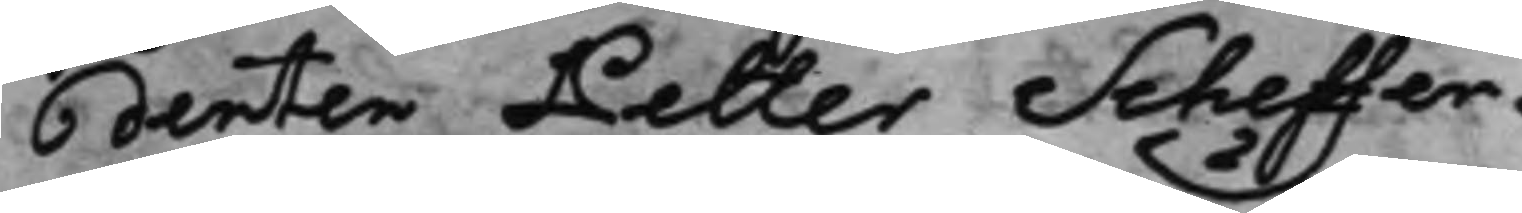denten Petter Scheffer.
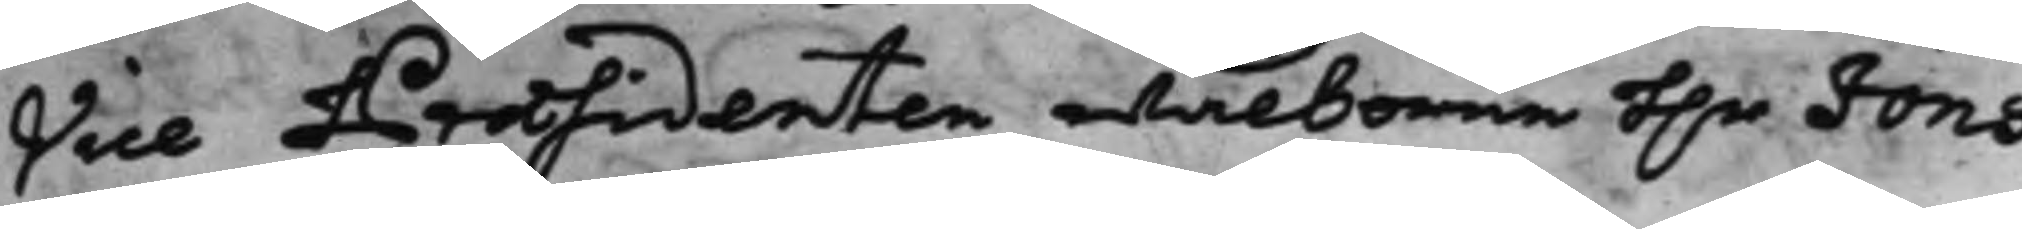Vice Præsidenten wälborne h.r Jöns
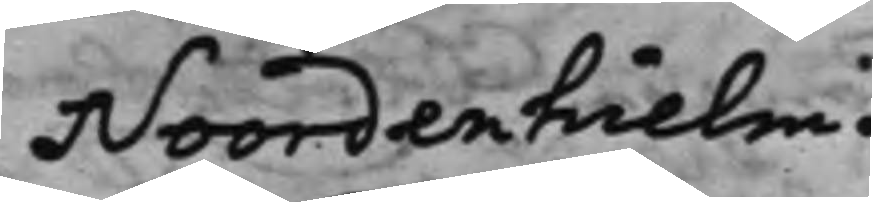Noordenhielm.
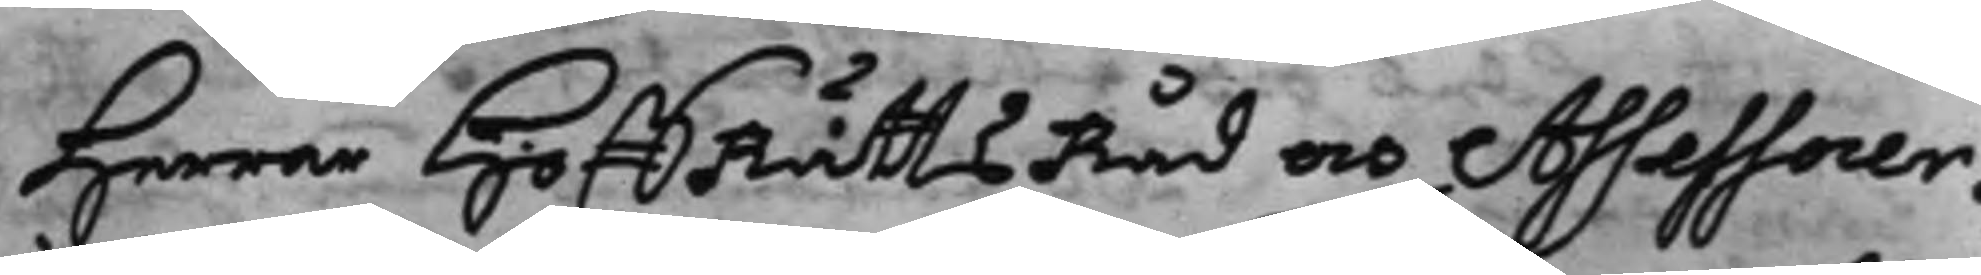Herrar HoffRättsRåd och Assessorer.
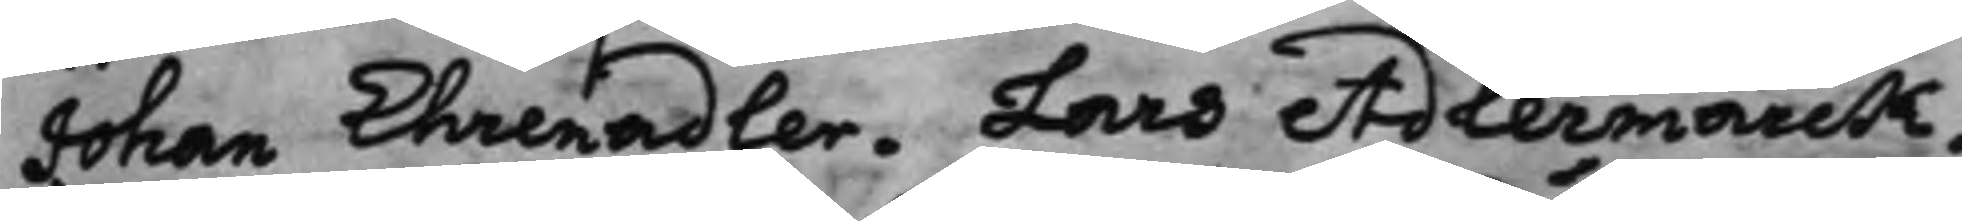Johan Ehrenadler, Lars Adlermarck,
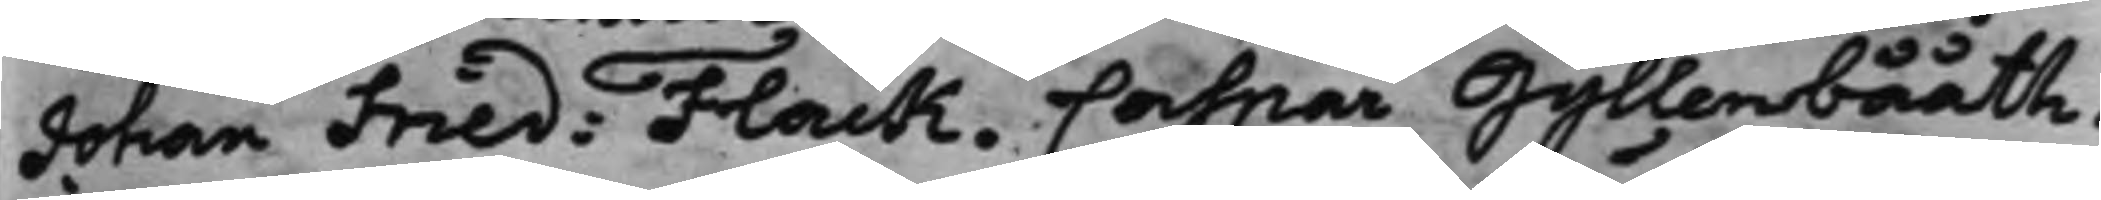Johan Fred: Flack, Caspar Gyllenbååth.
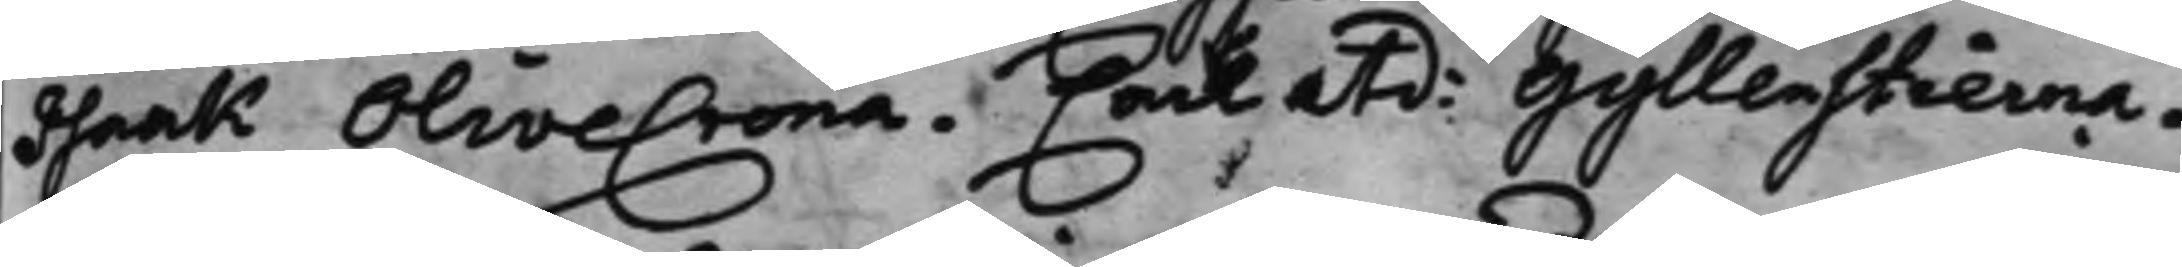Isaak Olivecrona. Carl atd: Gyllenstierna.
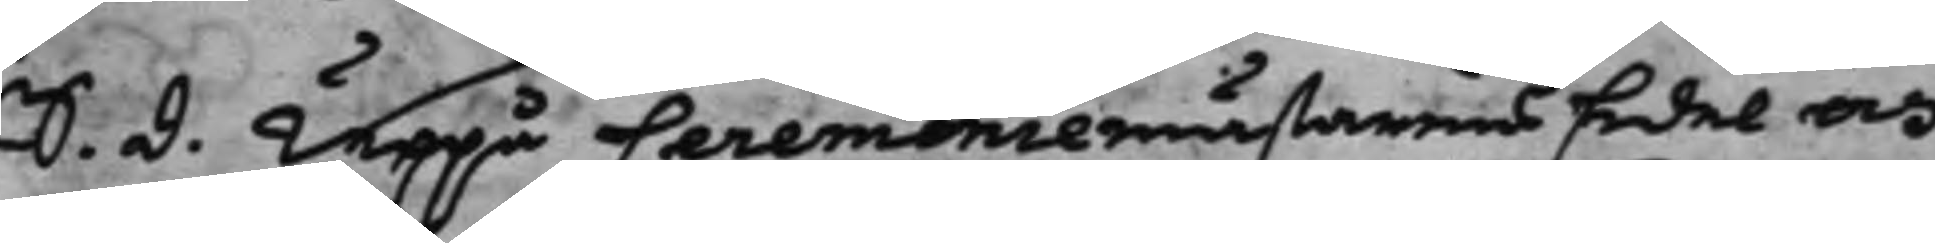S. d. Uppå Ceremoniemästarens Edel och
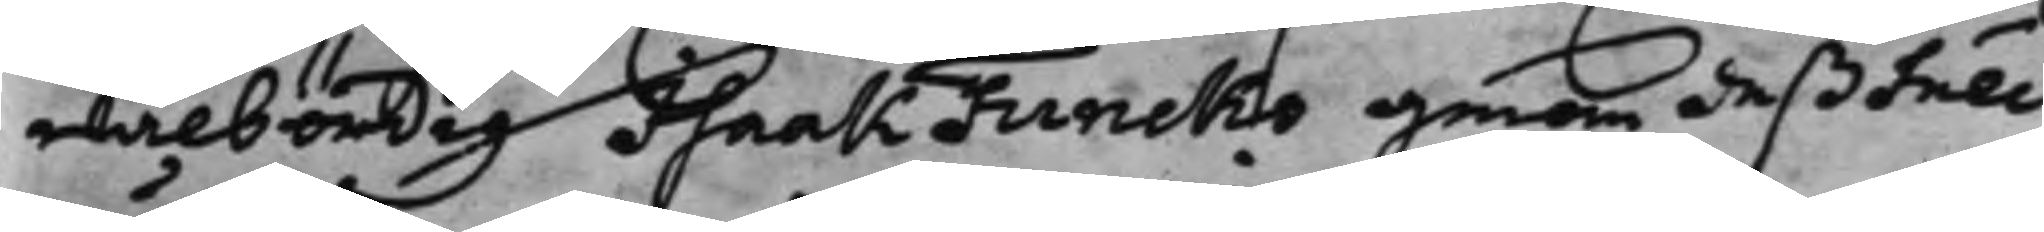wälbördig Isaak Funcks genom deß full¬
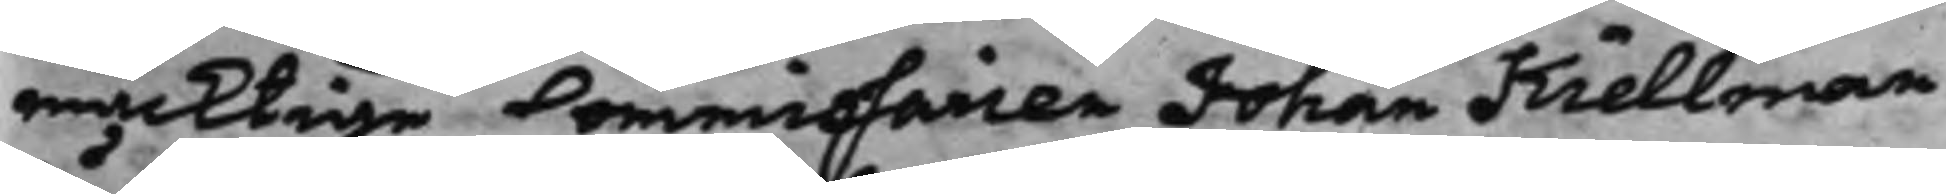mäcktige Commissarien Johan Kiellman
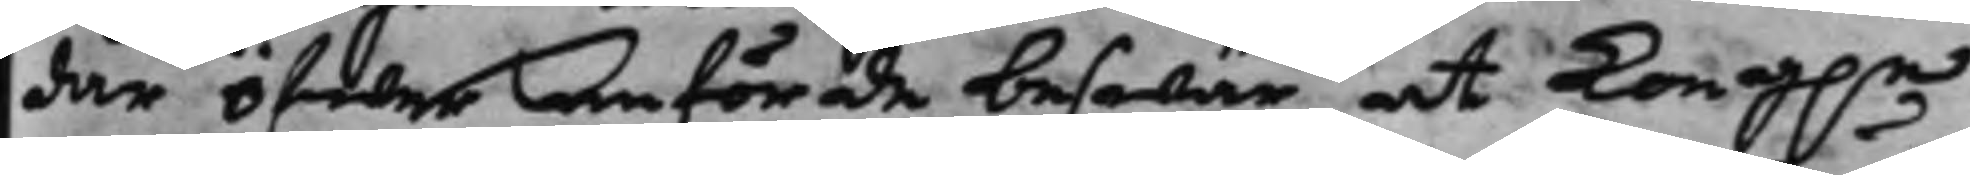där öfwer anförde beswär, at Kong.e
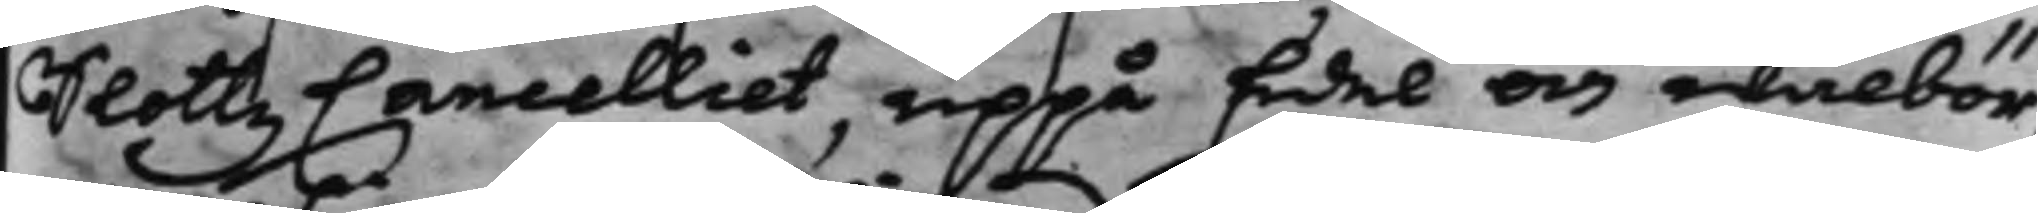SlottzCancelliet, uppå Edel och wälbör¬
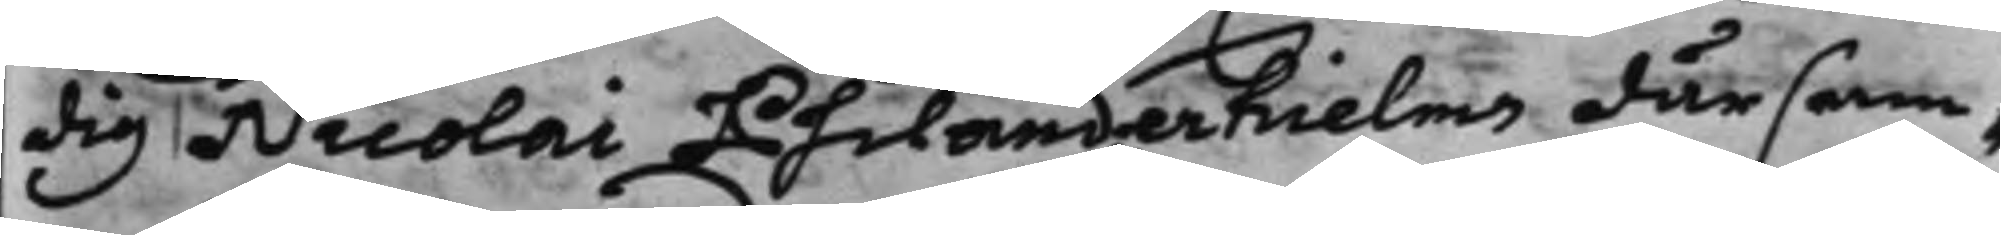dig Nicolai Philanderhielms därsam¬
